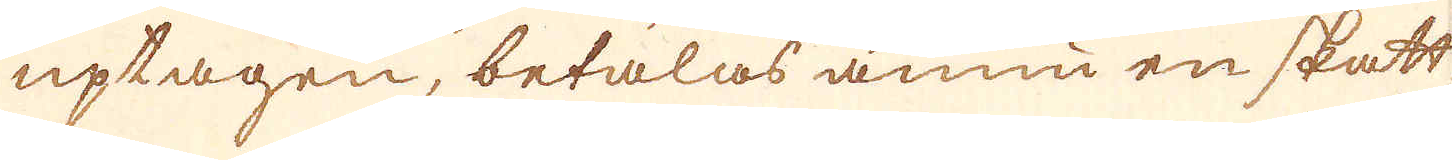uptagen, betalas ännu en skatt,
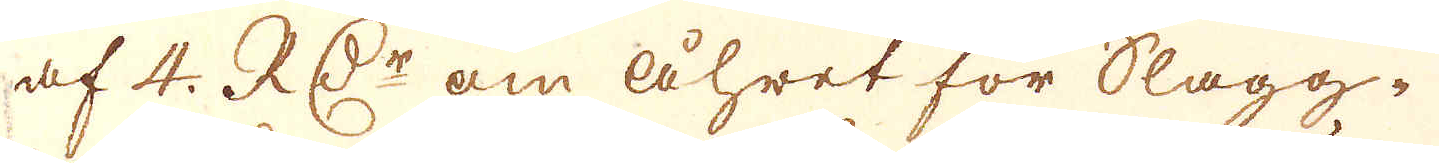af 4. RD:r om åhret för Slägg-
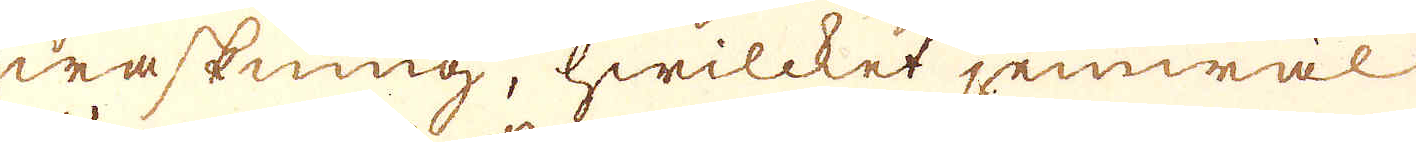waskning, hwilcket jemwäl
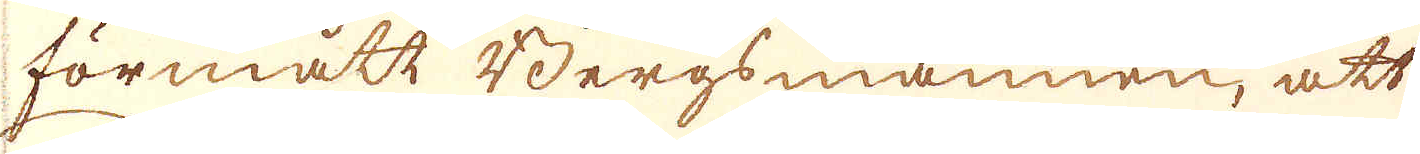förmått Bergsmännen, att
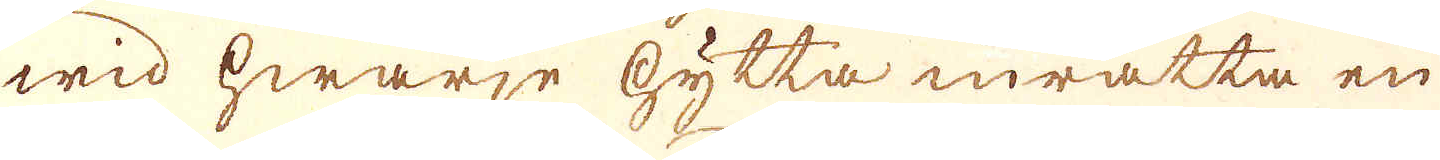wid hwarje hytta inrätta en
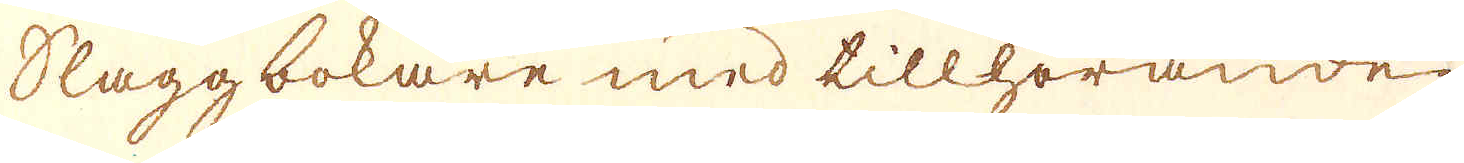Slaggbokare med tillhörande
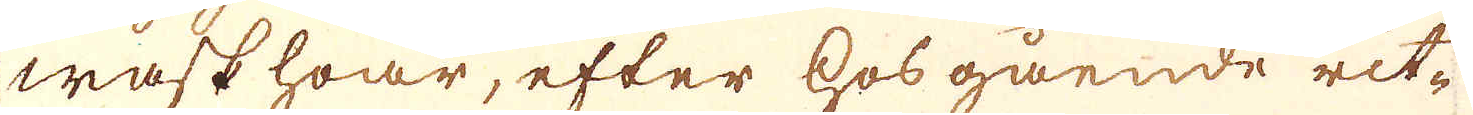waskhoar, efter hosgående rit-
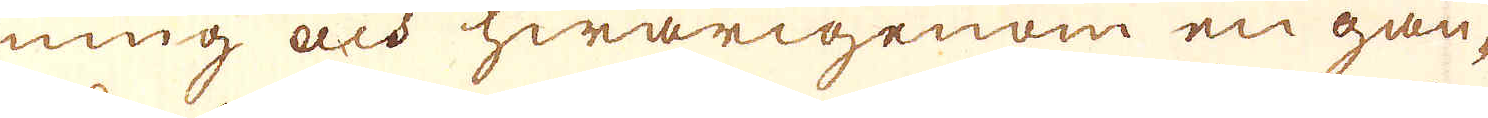ning och hwarigenom en gan-
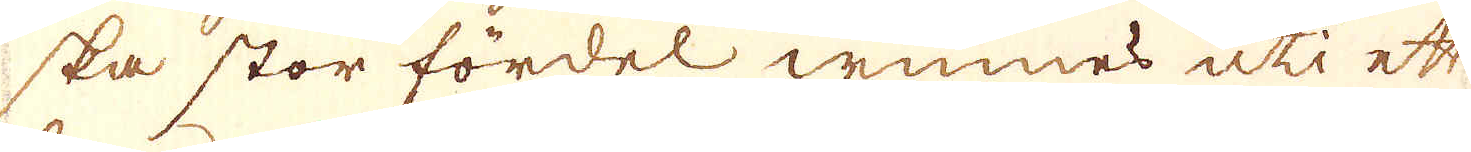ska stor fördel winnes uti ett
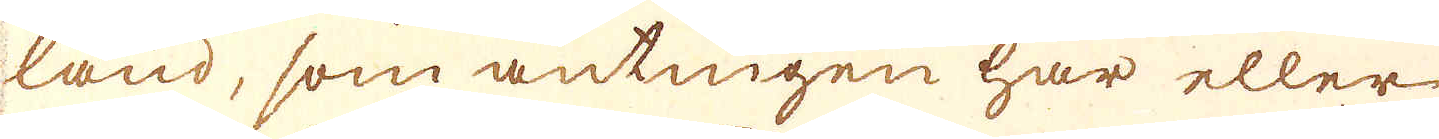land, som antingen har eller
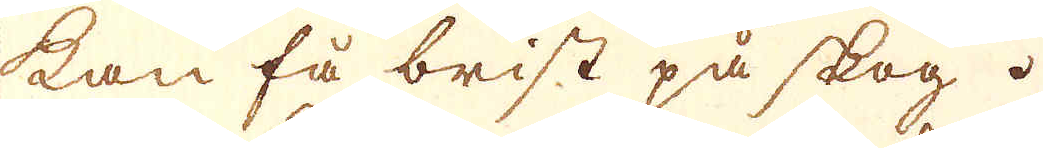kan få brist på skog.
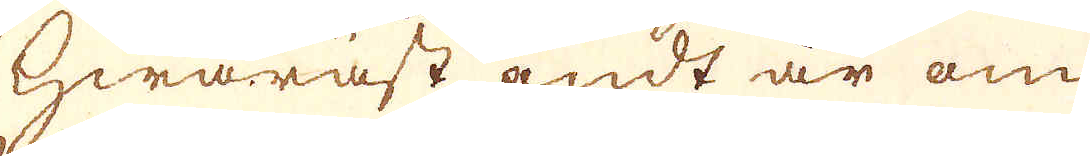Hwaräst andt är om
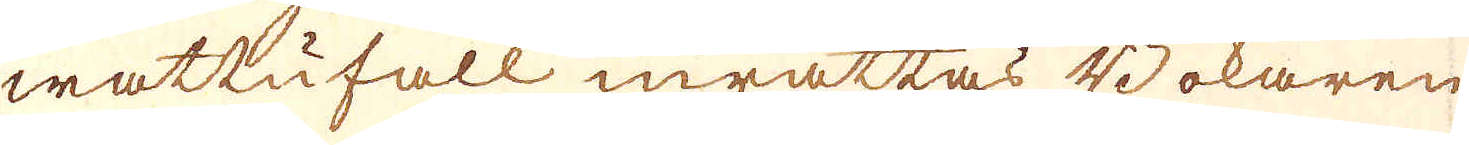wattufall inrättas Bokaren
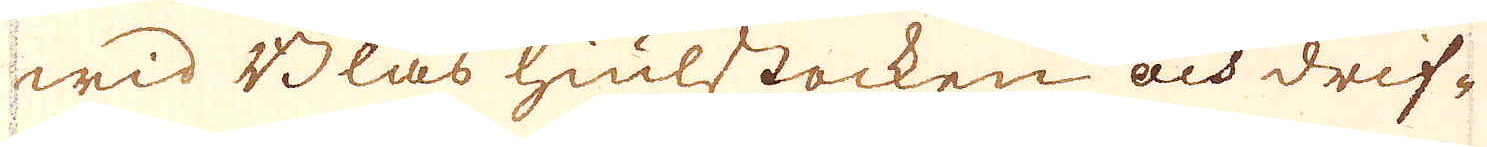wid Blås hiulstocken och drif-
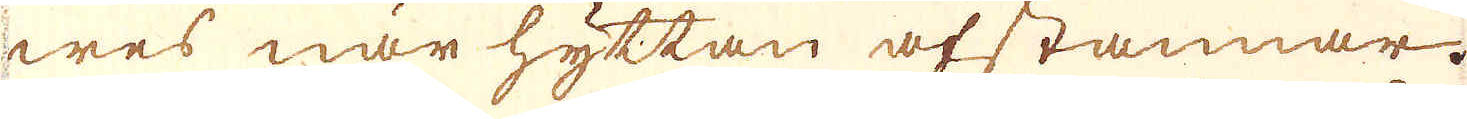wes när hyttan afstannar.
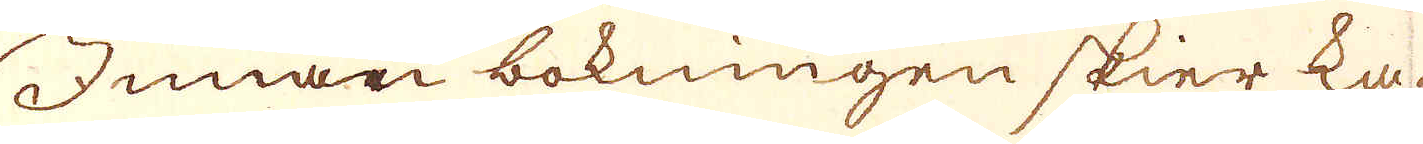Innan bokningen skier ka-
